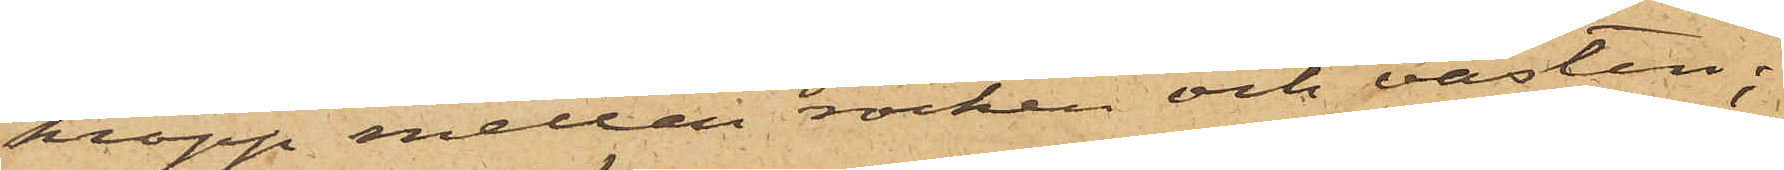kropp mellan rocken och västen;
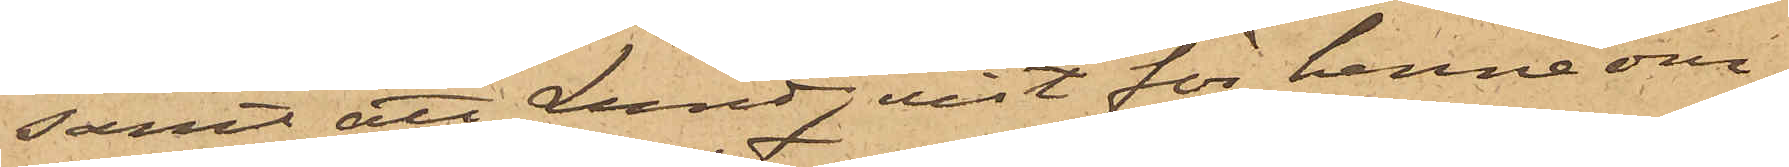samt att Lundqvist för henne om¬
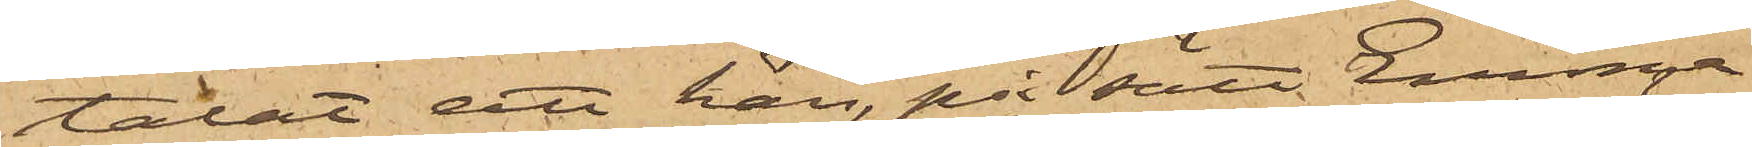talat att han, på sätt Emma
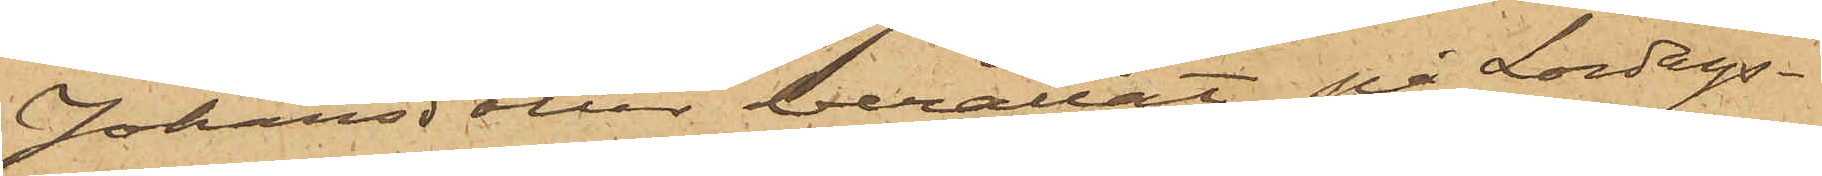Johansdotter berättat, på Lördags¬
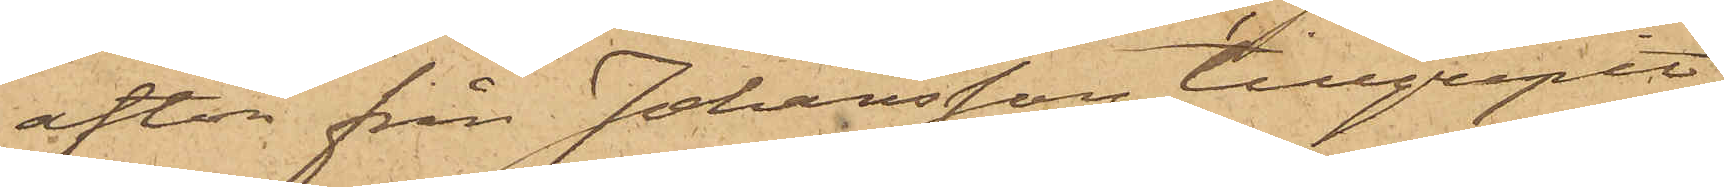afton från Johansson tillgripit
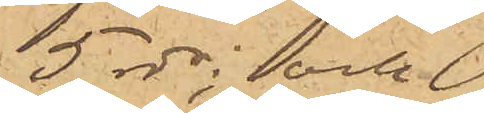5 rdr; och
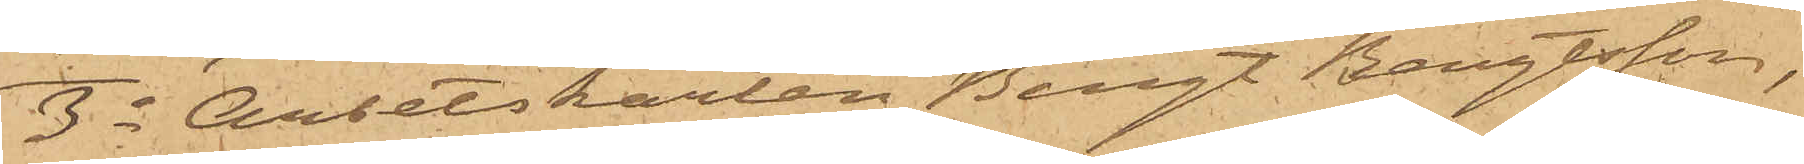3o Arbetskarlen Bengt Bengtsson,
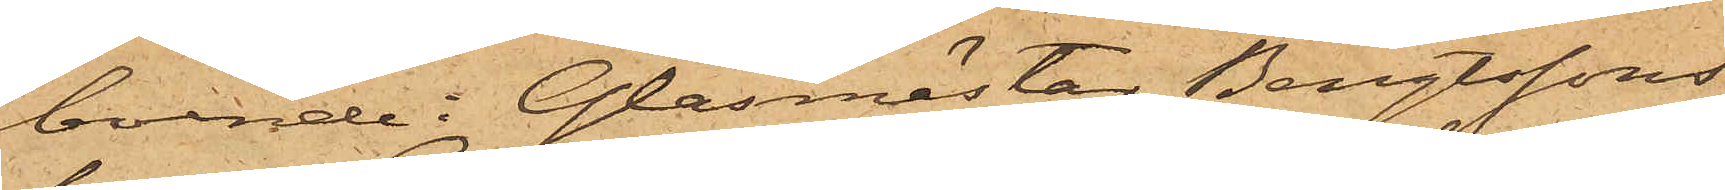boende i Glasmästar Bengtssons
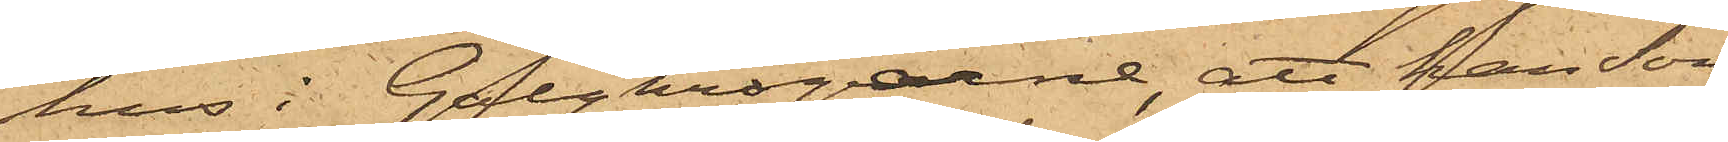hus i Galgkrogarne, att han Sön¬
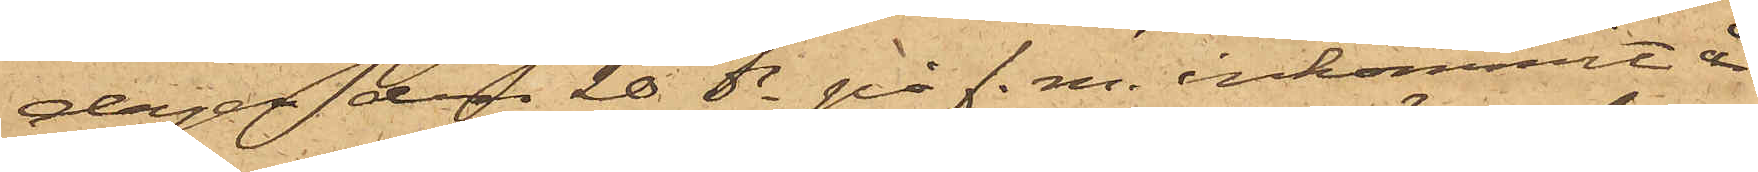dagen den 20 ds på f. m. inkommit å
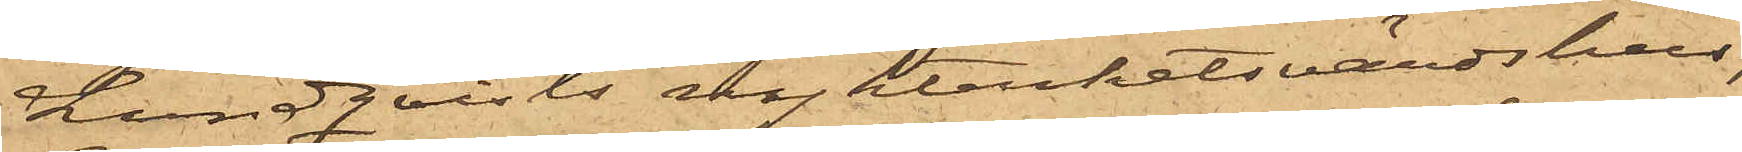Lundqvists nykterhetsvärdshus,
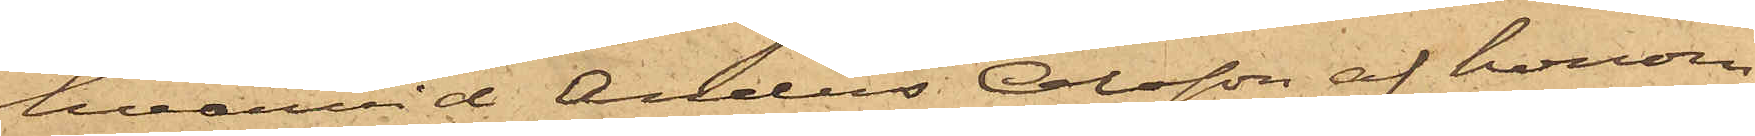hvarvid Anders Olsson af honom
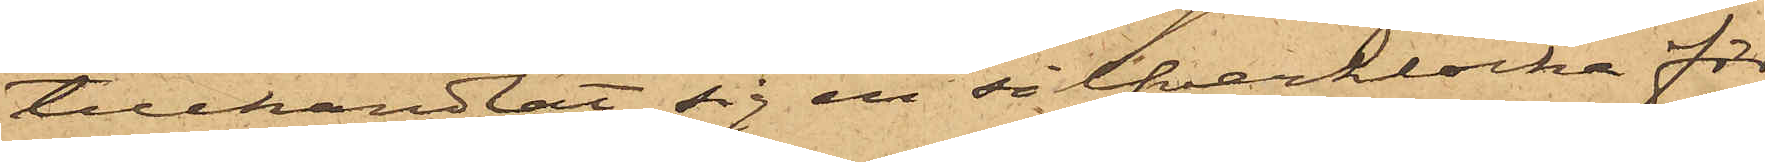tillhandlat sig en silfverklocka för
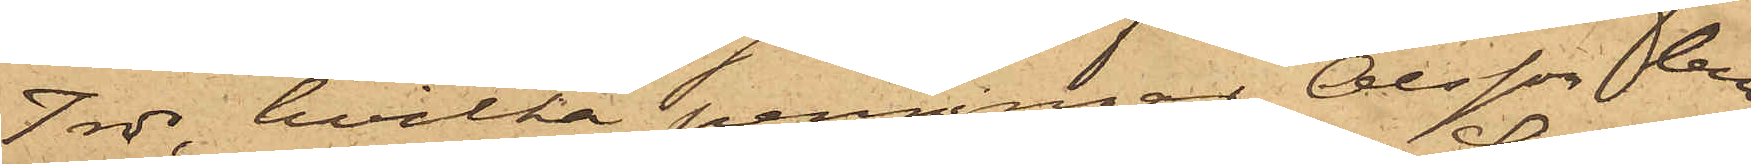7 rdr, hvilka penningar Olsson lem¬
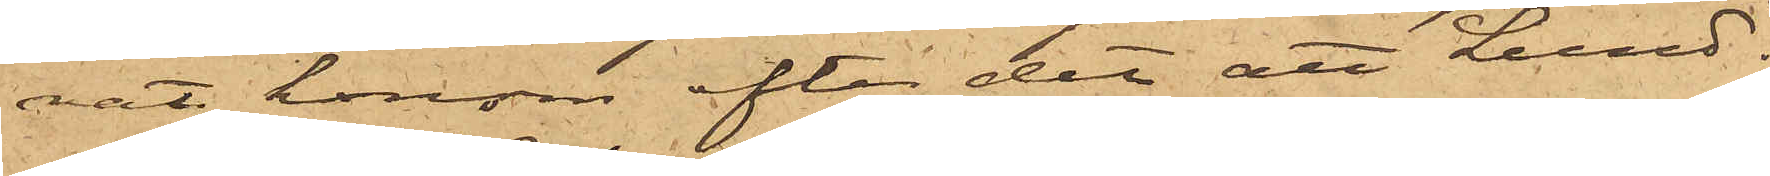nat honom efter det att Lund¬
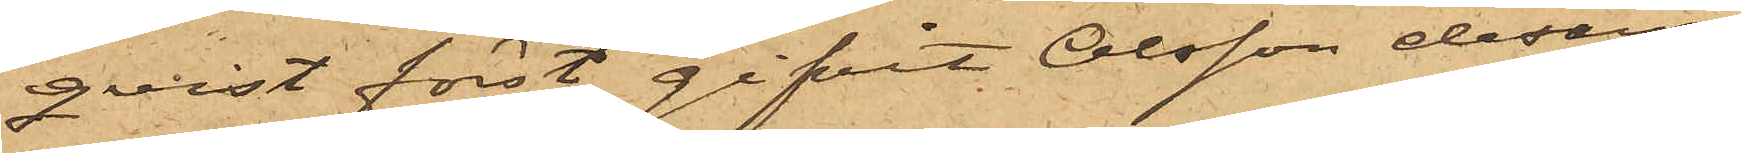qvist först gifvit Olsson desam¬
